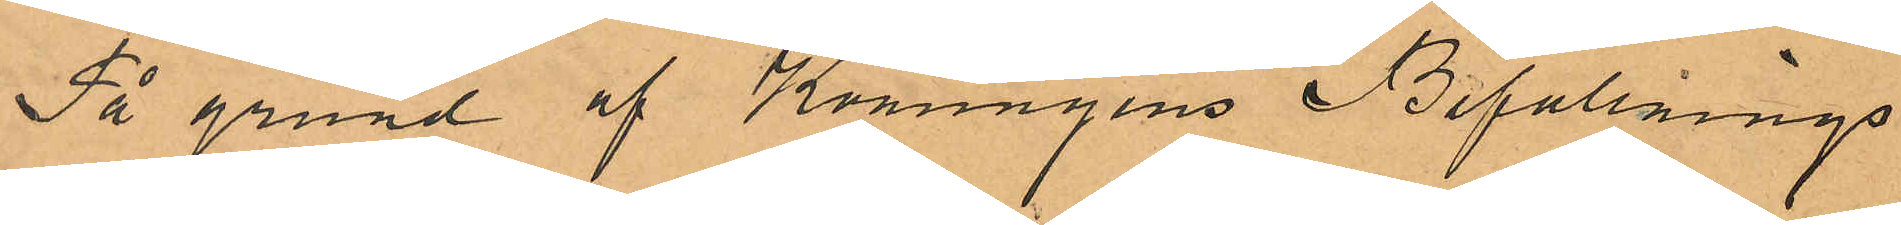På grund af Konungens Befallnings¬
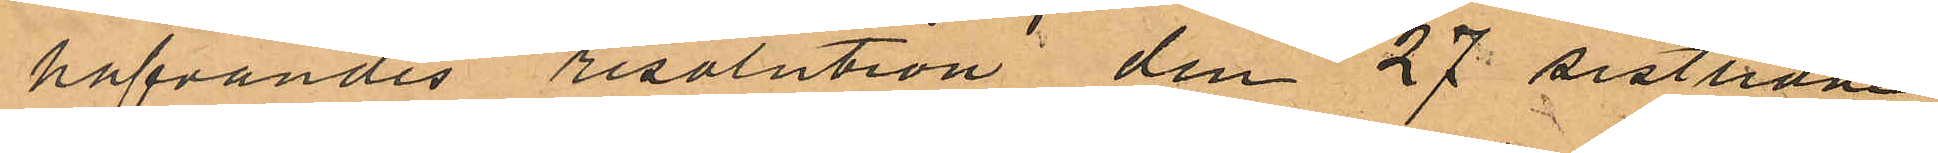hafvandes resolution den 27 sistlidne
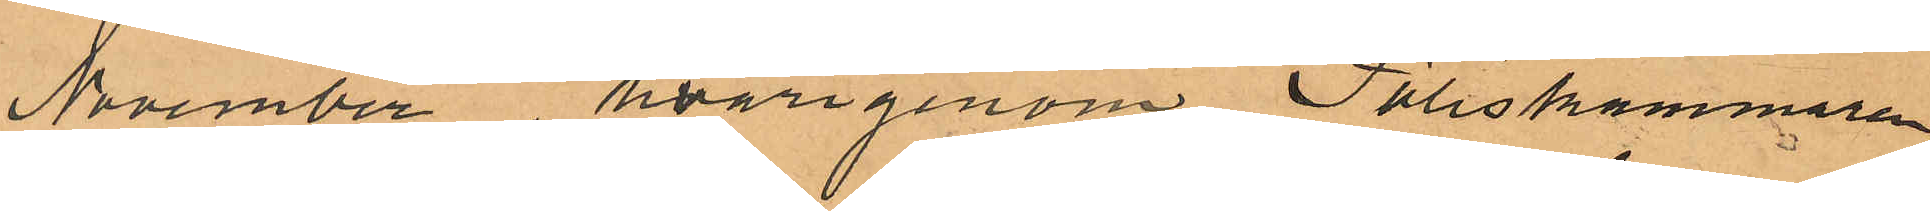November hvarigenom Poliskammaren
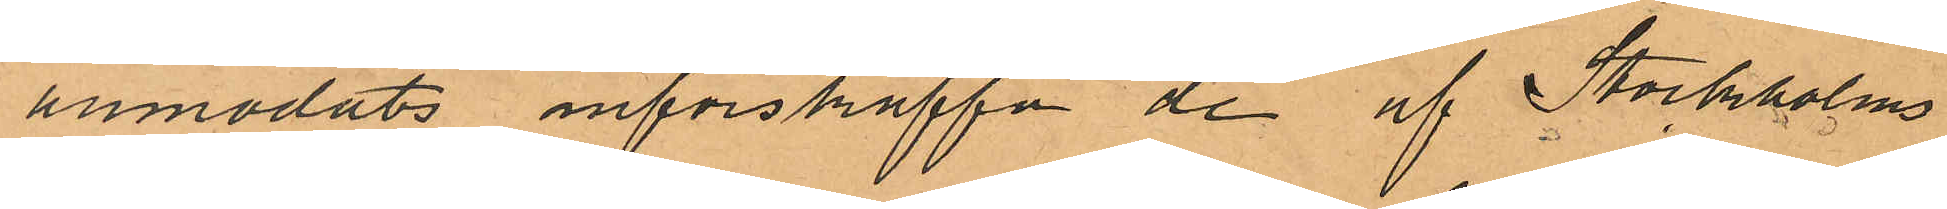anmodats införskaffa de af Stockholms
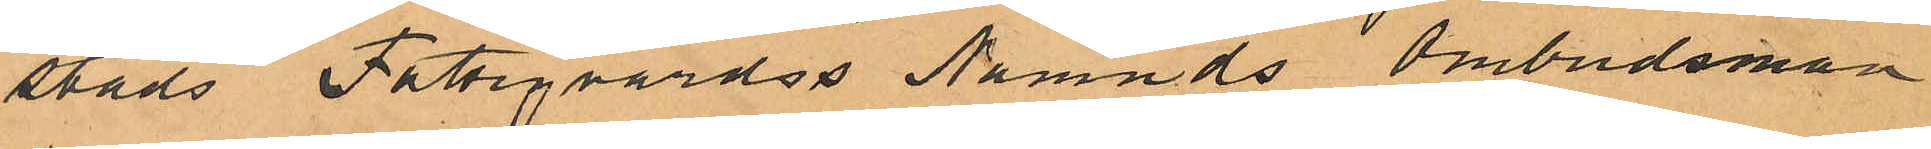stads Fattgvårdss Nämnds Ombudsman
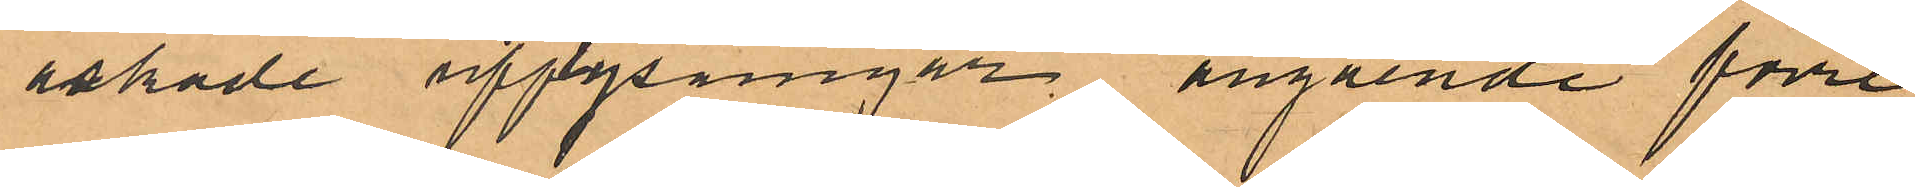äskade uppysningar angående förre
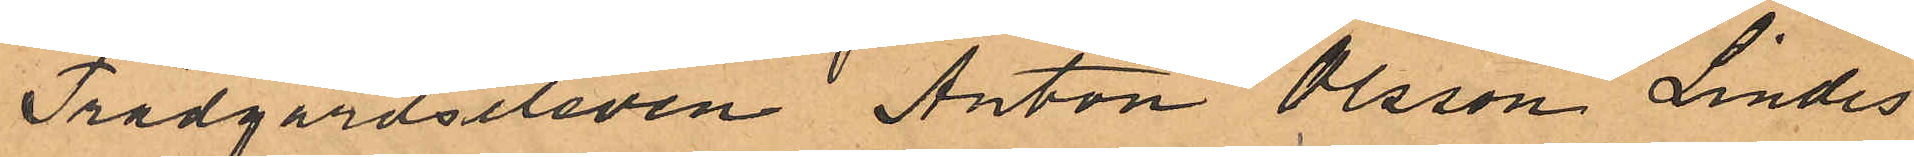Trädgårdseleven Anton Olsson Lindes
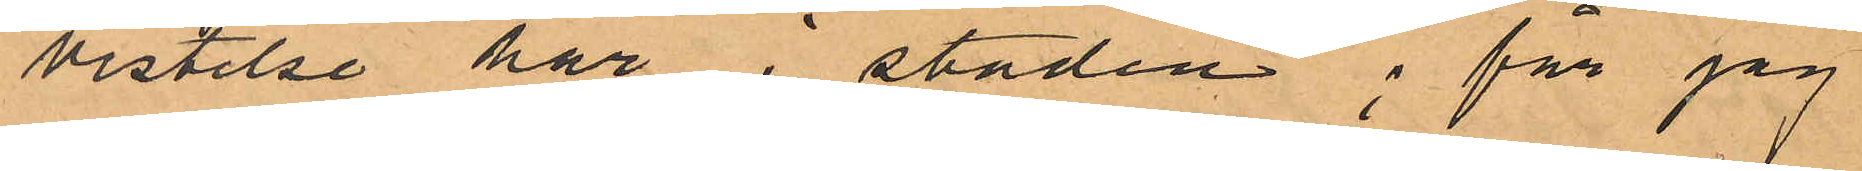vistelse här i staden; får jag
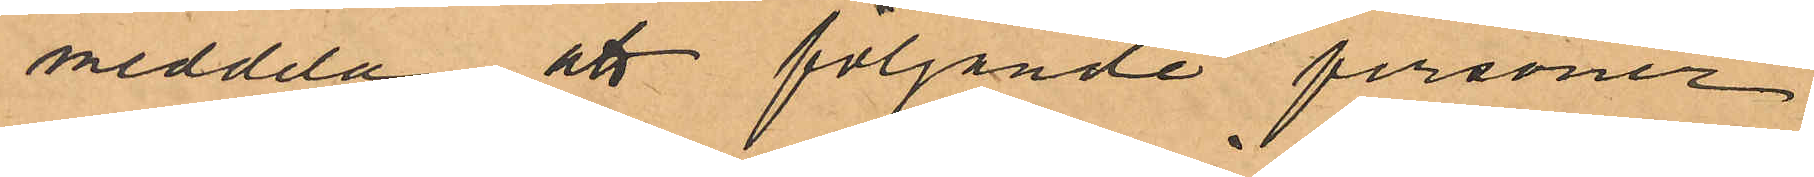meddela att följande personer
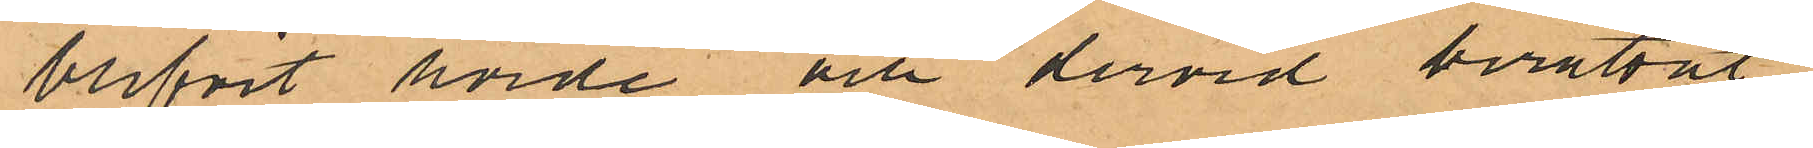blifvit hörde och dervid berättat
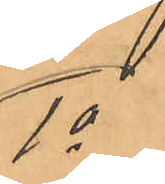1o
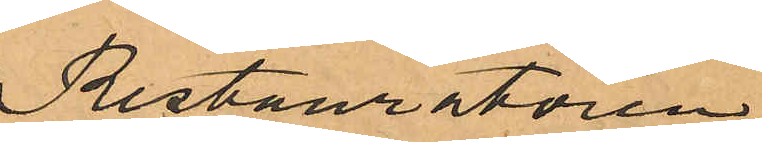Restauratören
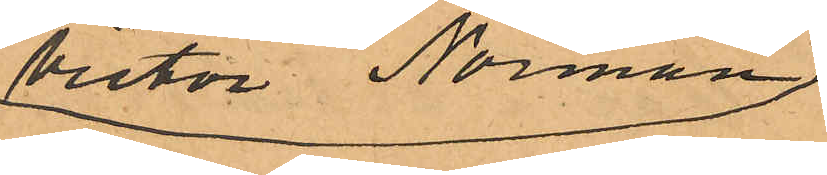Victor Norman
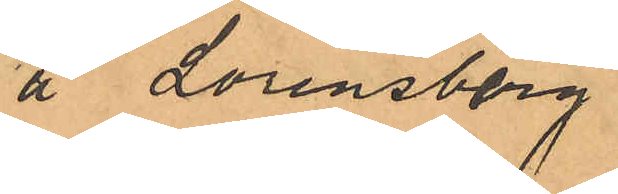å Lorensberg
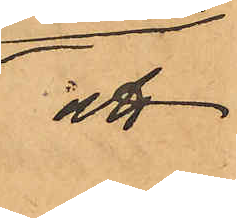att
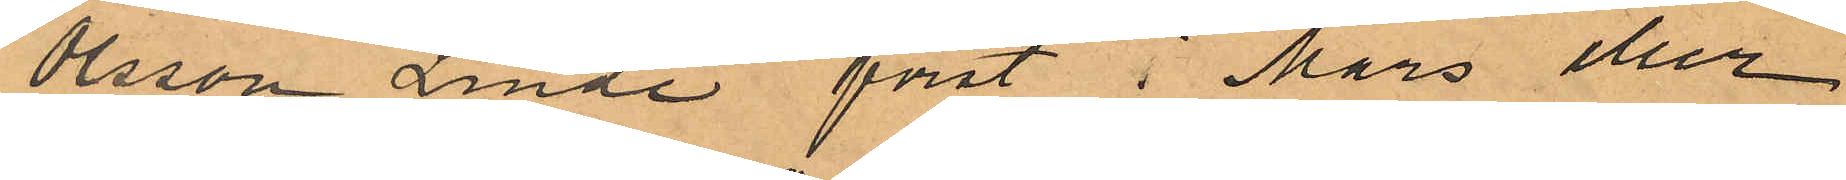Olsson Linde först i Mars eller
